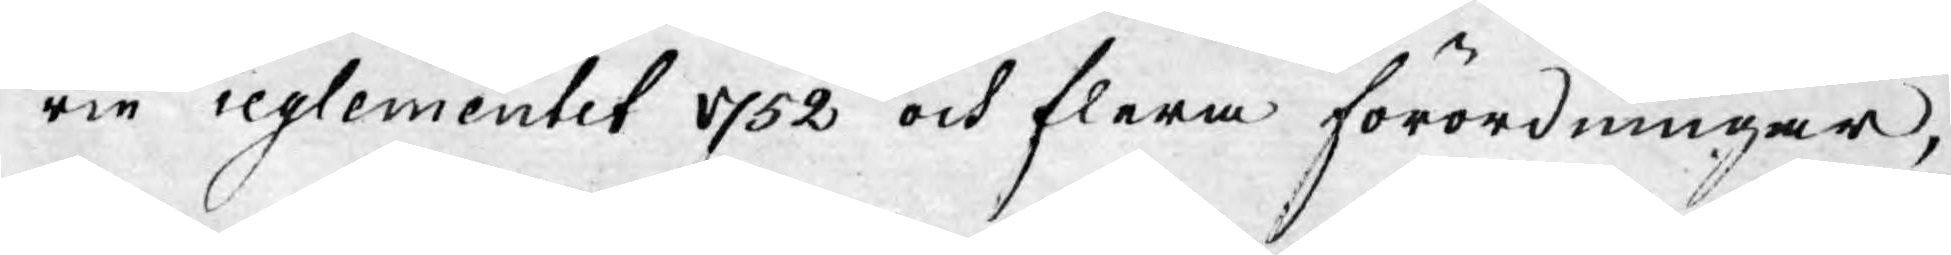rie reglementet 1752 och flera förordningar,
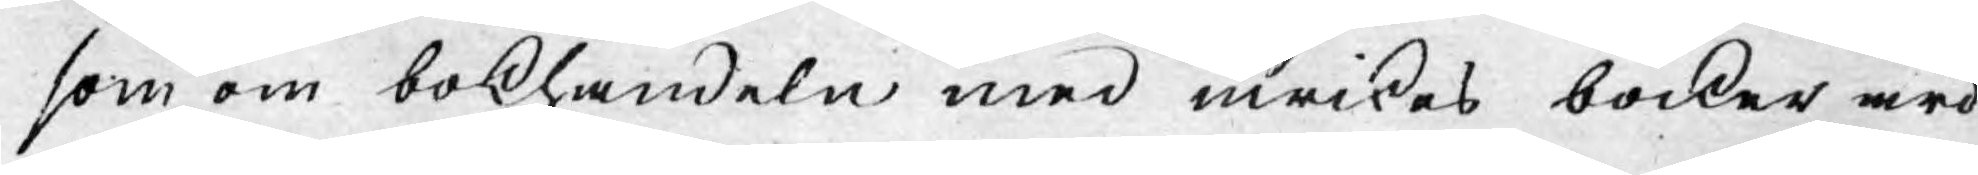som om bokhandeln med inrikes böcker äro
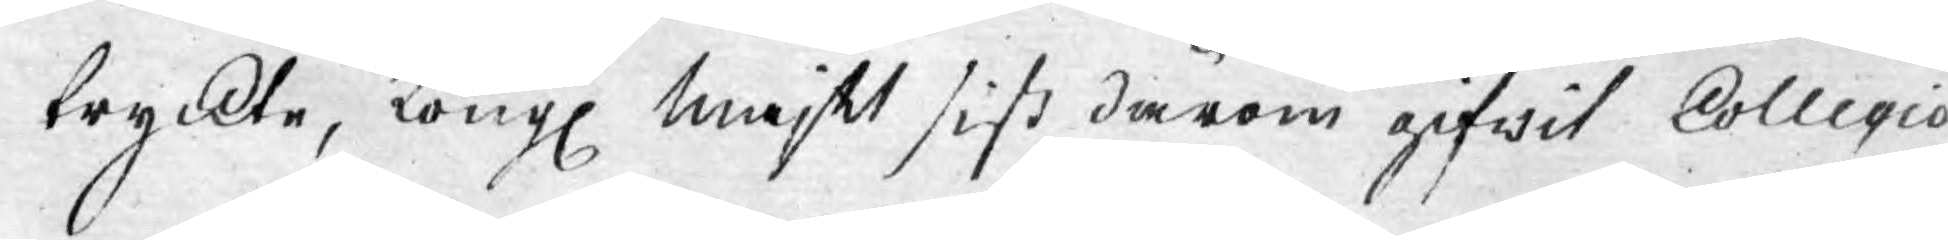tryckte, Kongl Majt sist därom gifwit Collegio
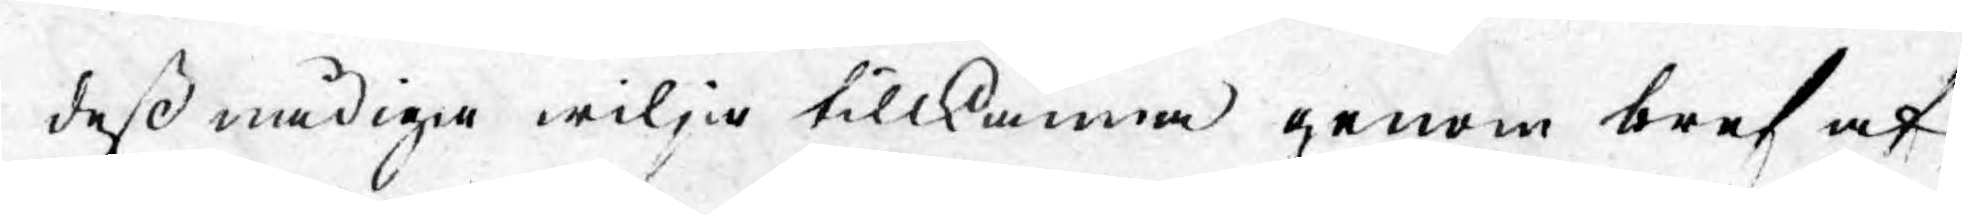dess nådiga wilja tillkänna genom bref af
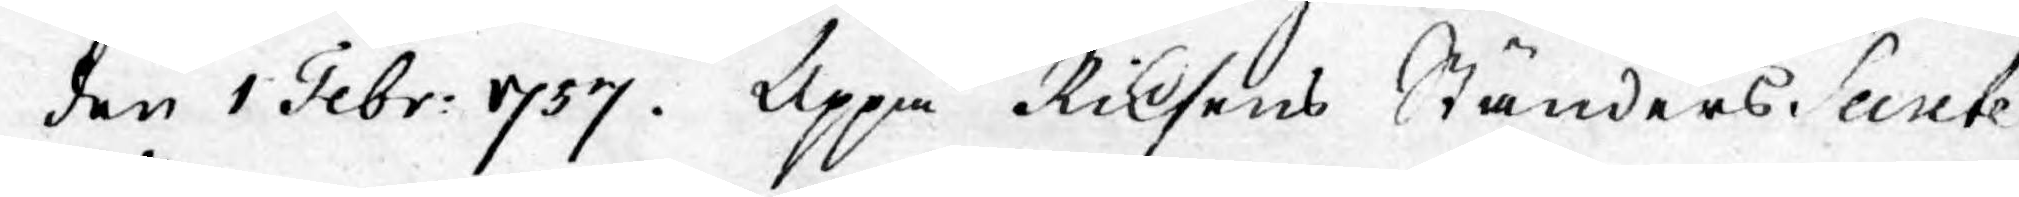den 1 Febr: 1757. Uppå Riksens Ständers Secrete
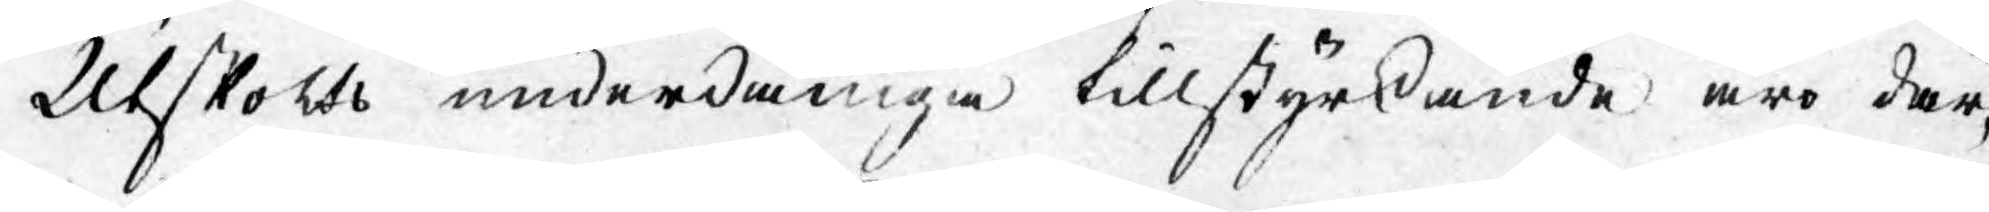Utskotts underdåniga tillstyrkande äro där¬
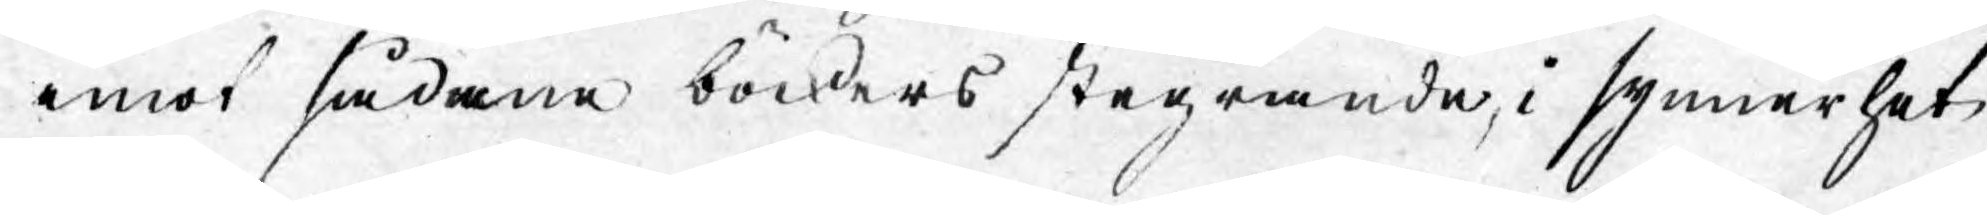emot sådane böckers stegrande, i synnerhet
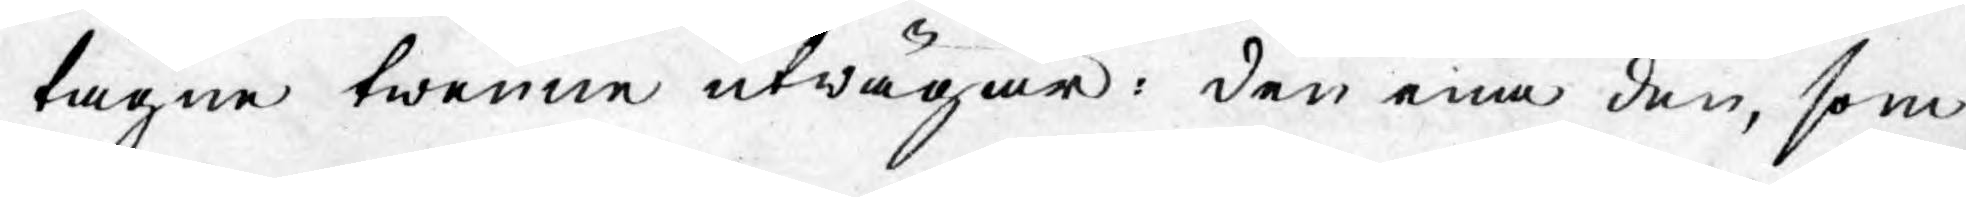tagne twenne utwägar: den ena den, som
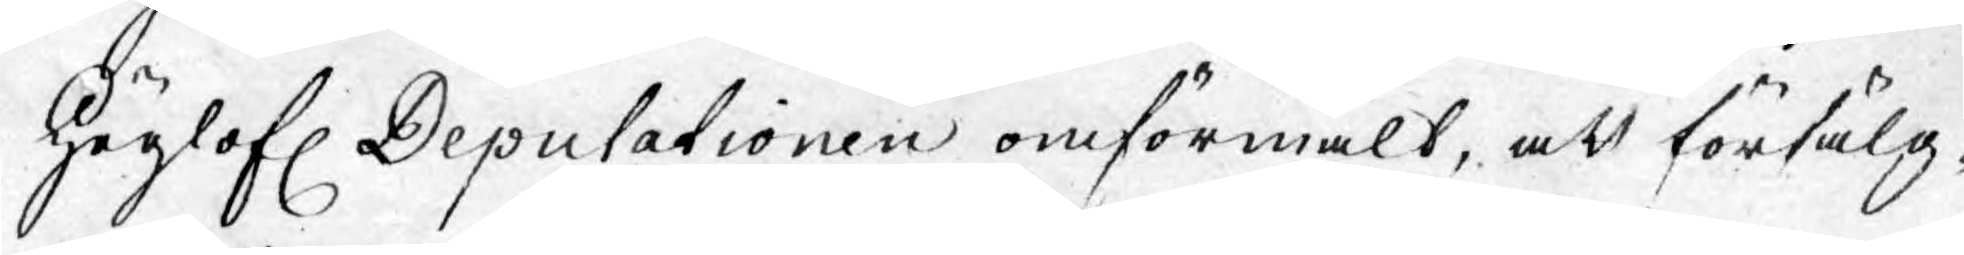Höglofl. Deputationen omförmält, att försälg¬
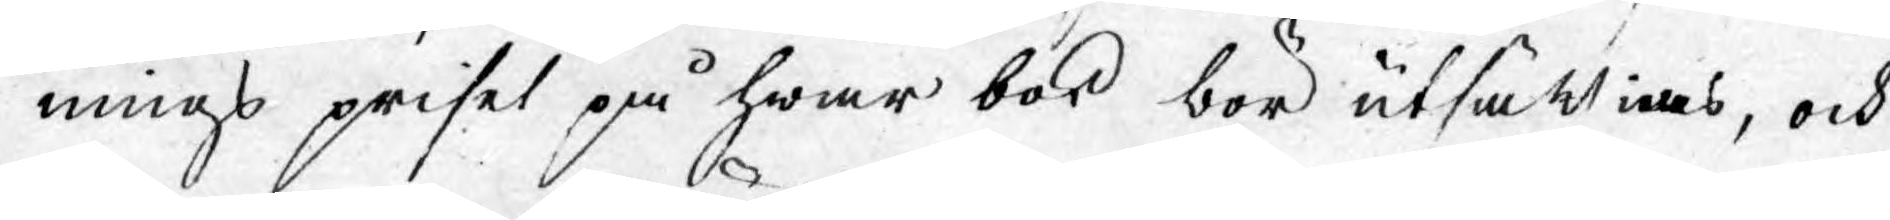nings priset på hwar bok bör utsättias, och
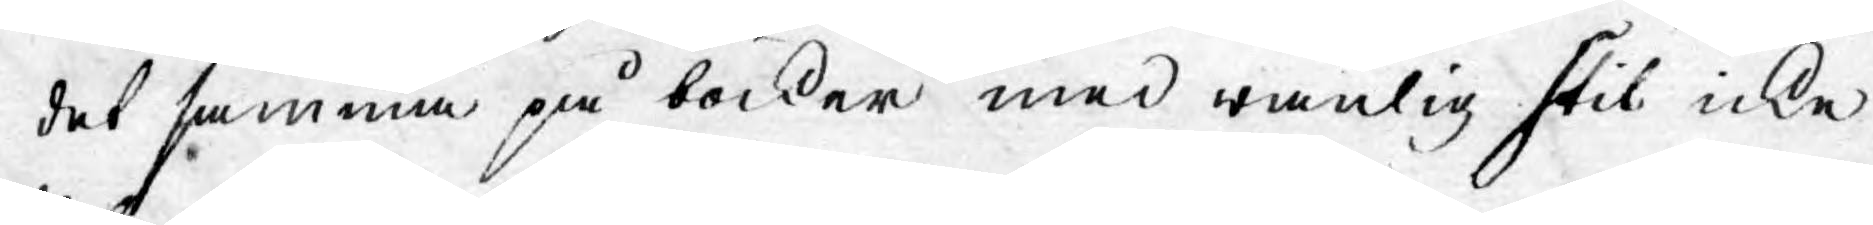detsamma på böcker med wanlig stil icke
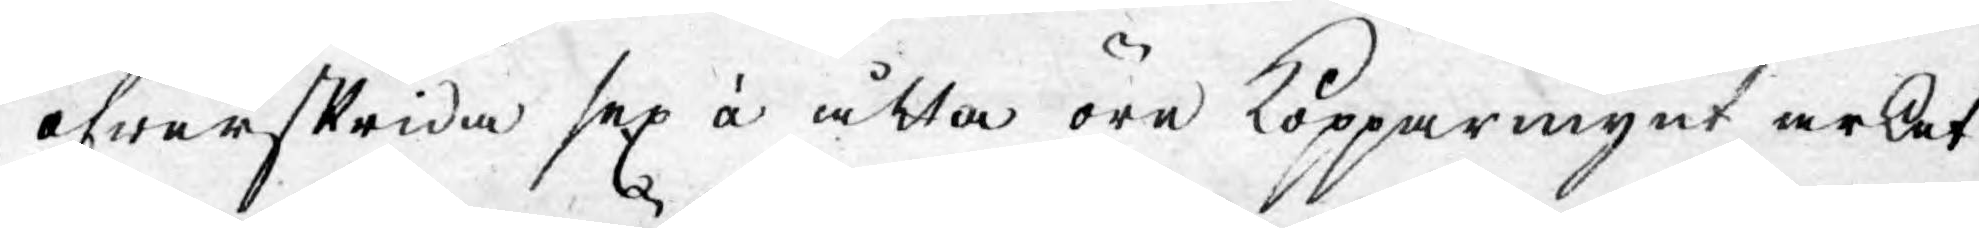öfwerskrida sex à åtta öre Kopparmynt arket
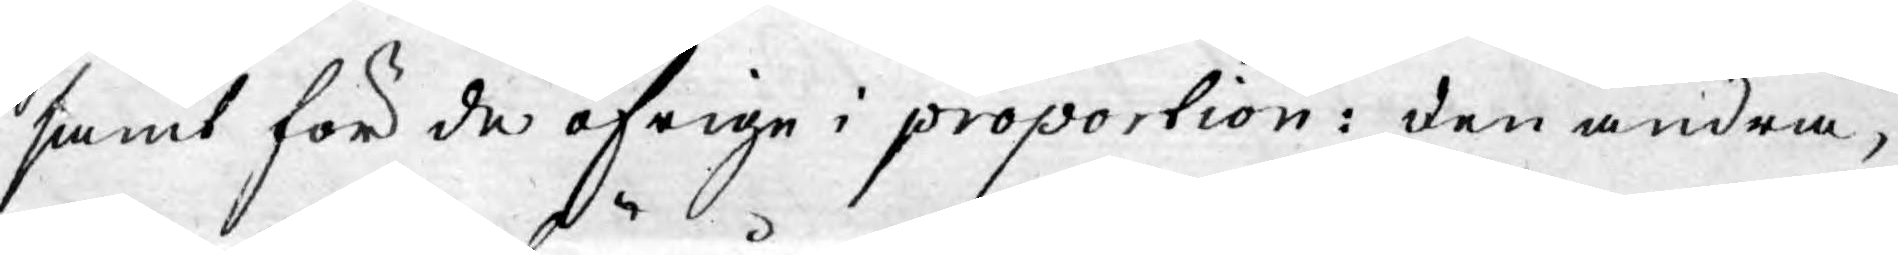samt för de öfrige i proportion: den andra,
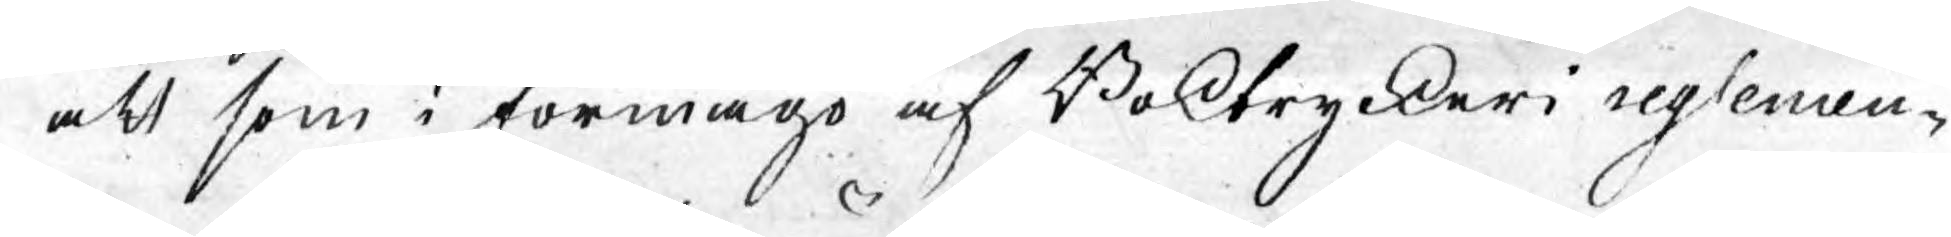att som i förmågo af Boktryckeri reglemen¬
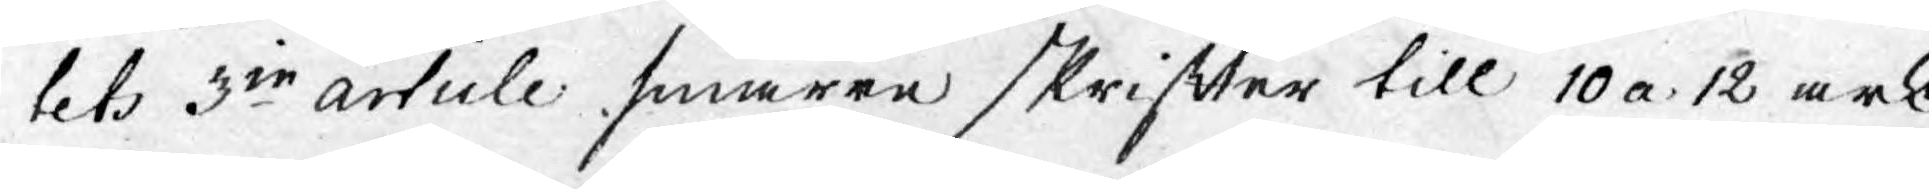tets 3ie article smärre skrifter till 10 a 12 ark,
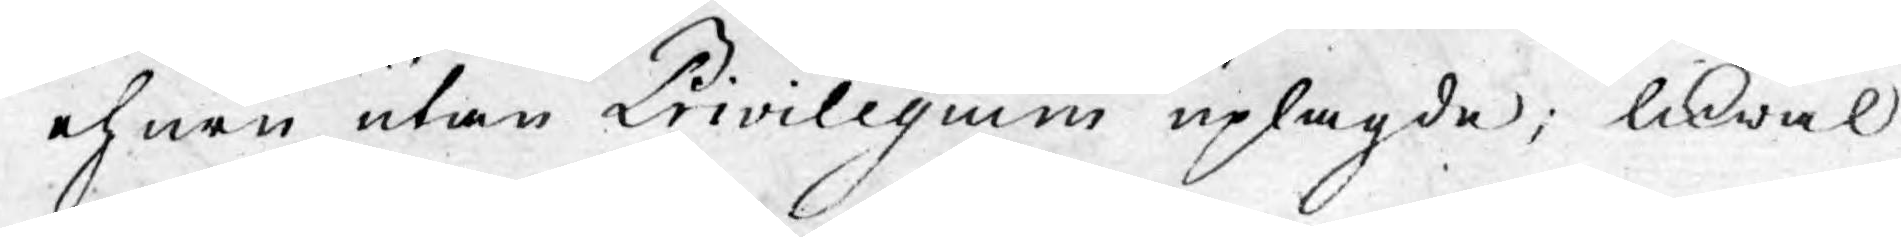ehuru utan Privilegium uplagde; likwäl
